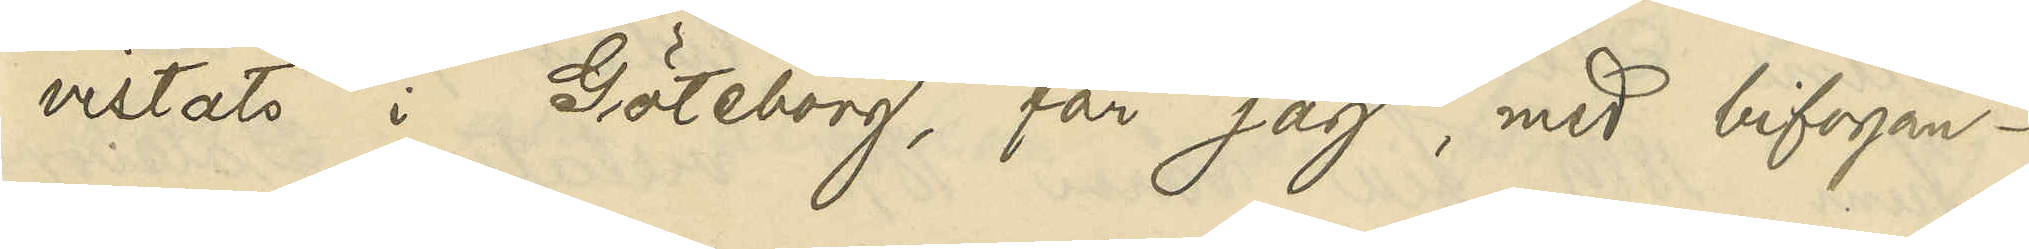vistats i Göteborg, får jag, med bifogan¬
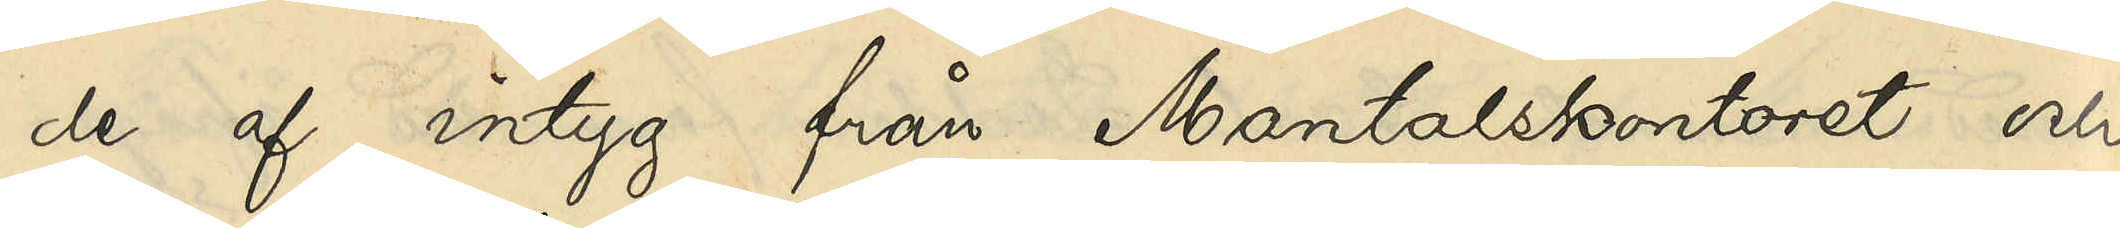de af intyg från Mantalskontoret och
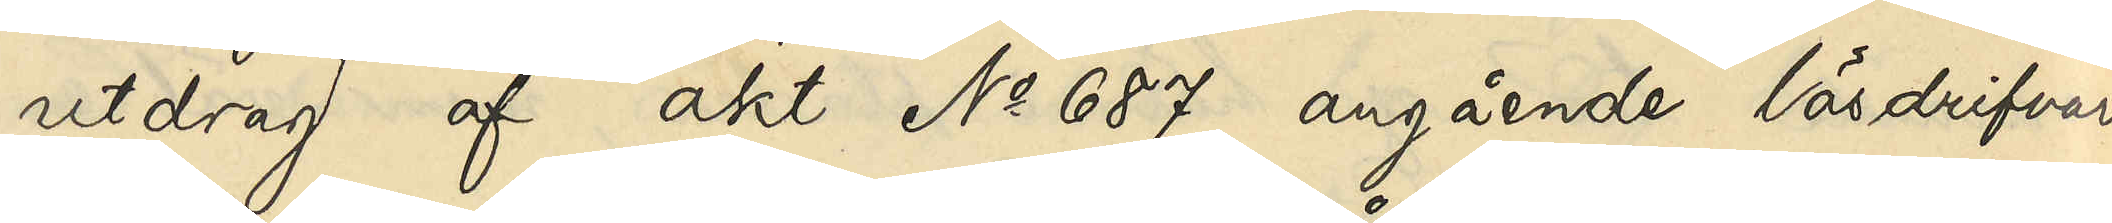utdrag af akt No 687 angående lösdrifvare
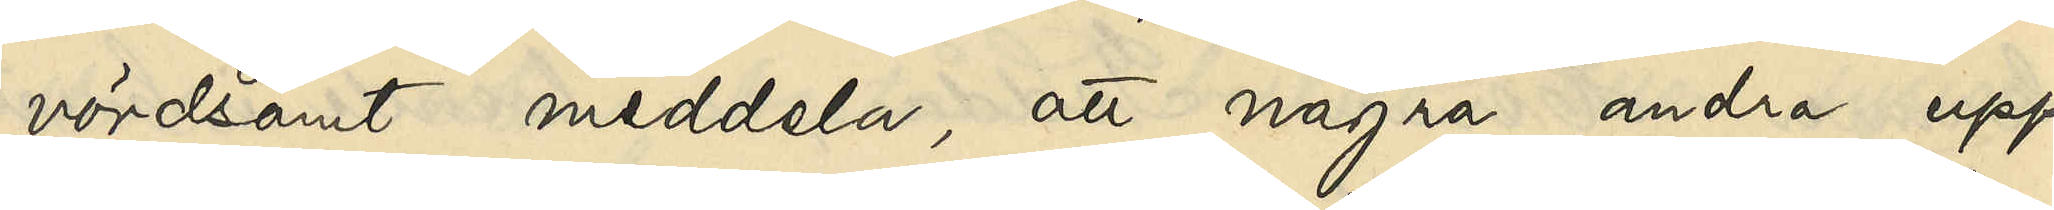vördsamt meddela, att några andra upp¬
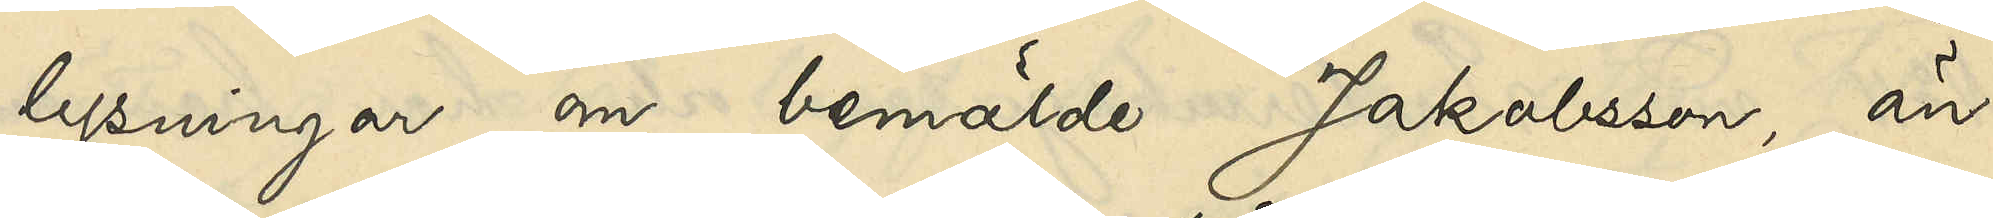lysningar om bemälde Jakobsson, än
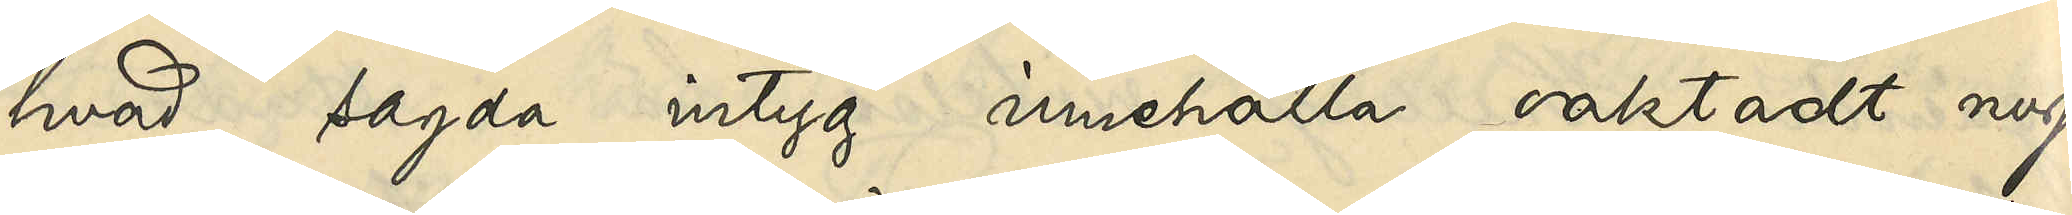hvad sagda intyg innehålla oaktadt nog¬
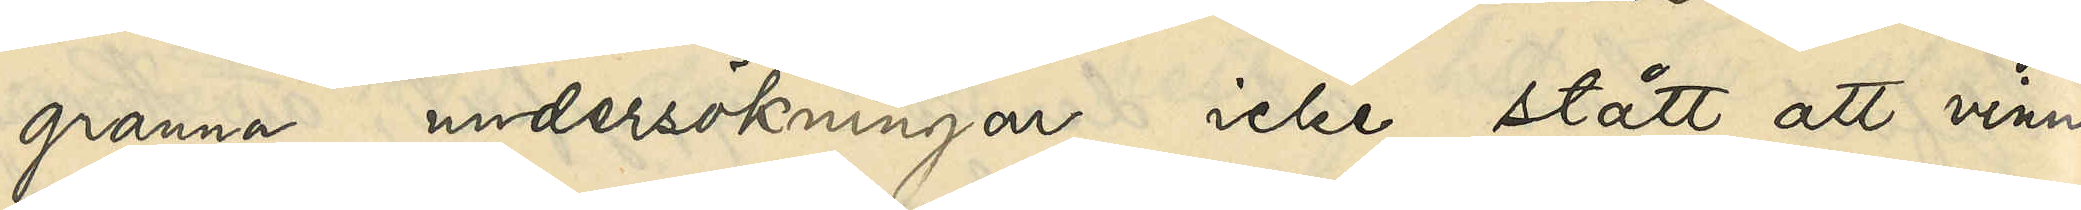granna undersökningar icke stått att vinna.
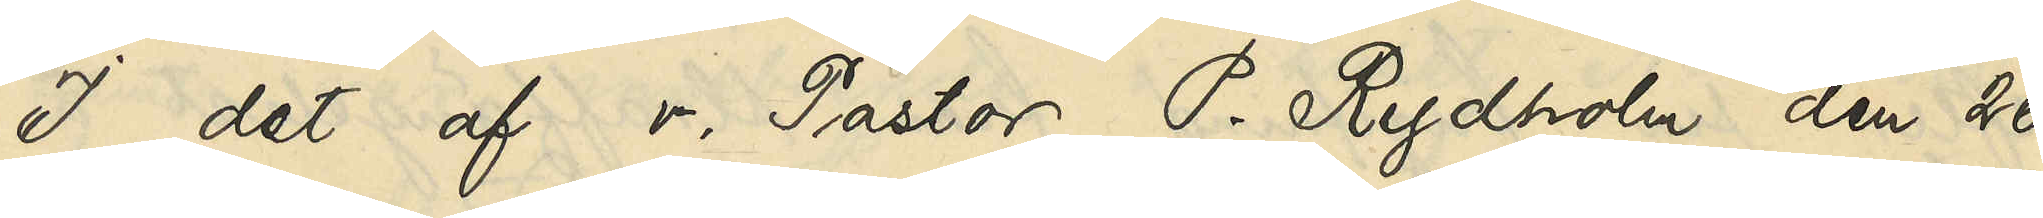I det af v. Pastor P. Rydholm den 26
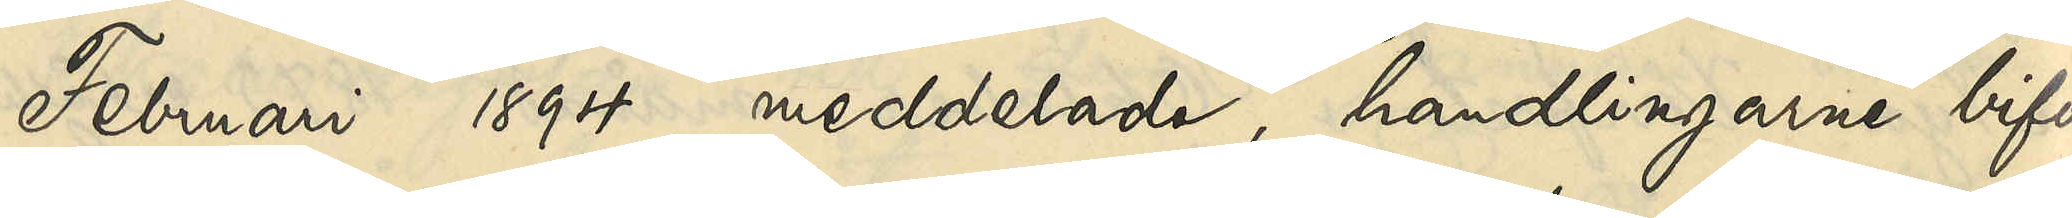Februari 1894 meddelade, handlingarne bifo¬
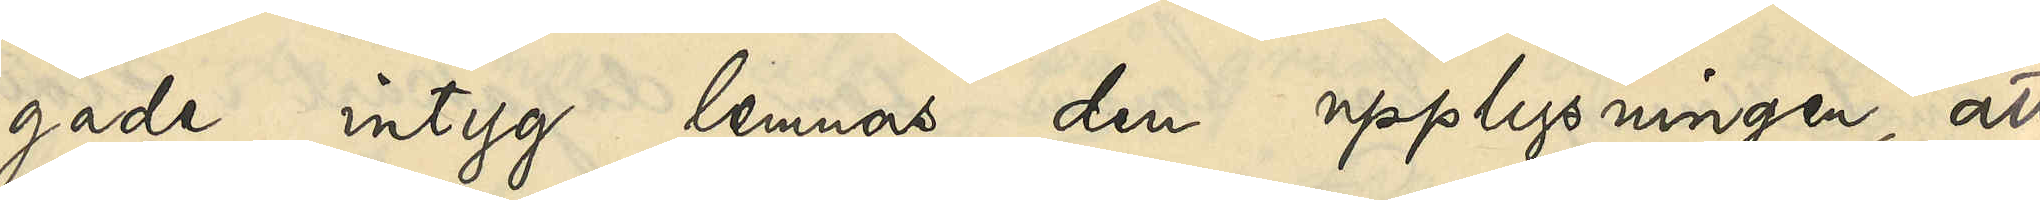gade intyg lemnas den upplysningen, att
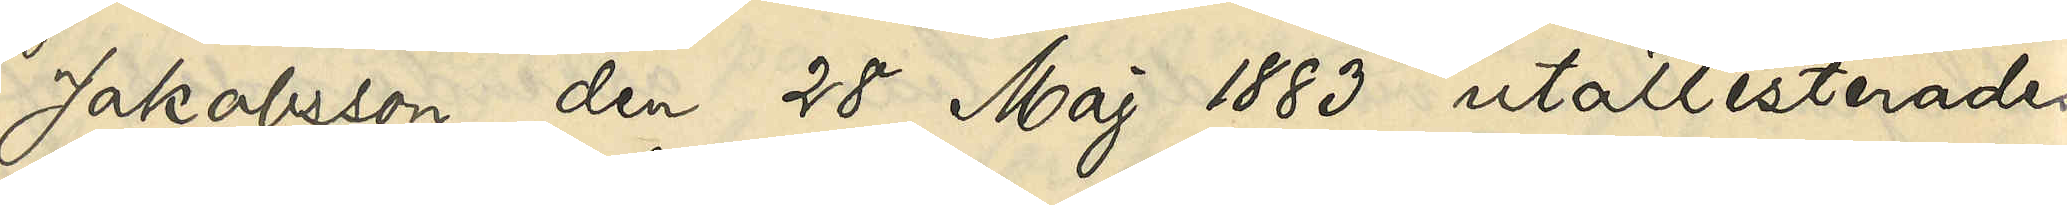Jakobsson den 28 Maj 1883 utattesterades
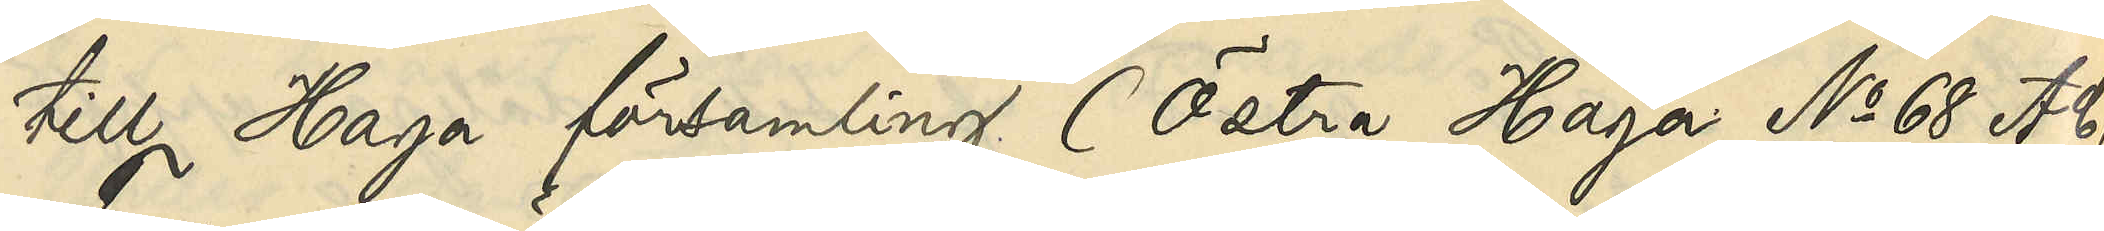till Haga församling (Östra Haga No 68 A C)
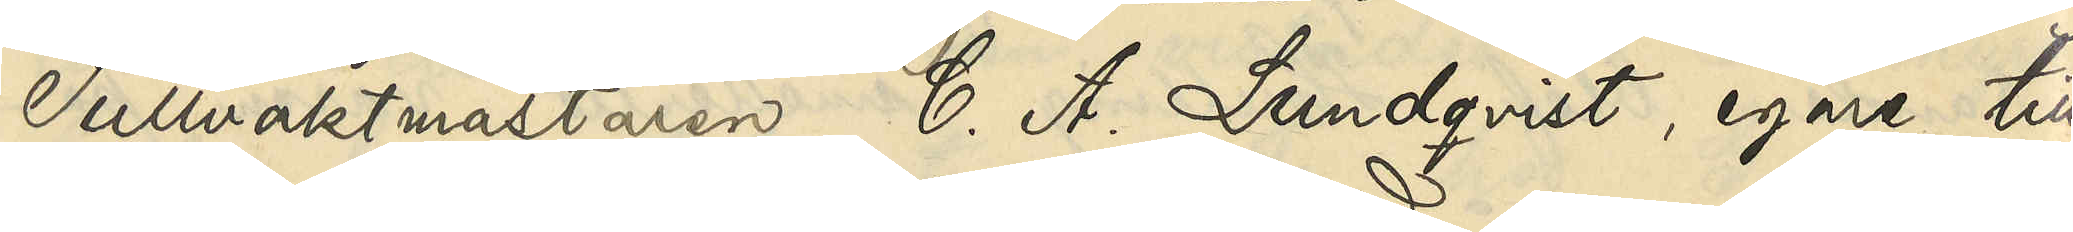Tullvaktmästaren C. A. Lundqvist, egare till
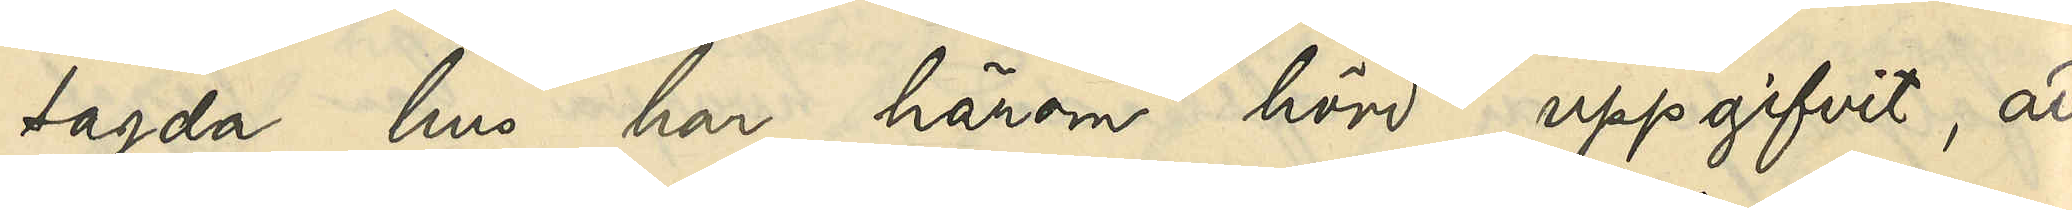sagda hus har härom hörd uppgifvit, att
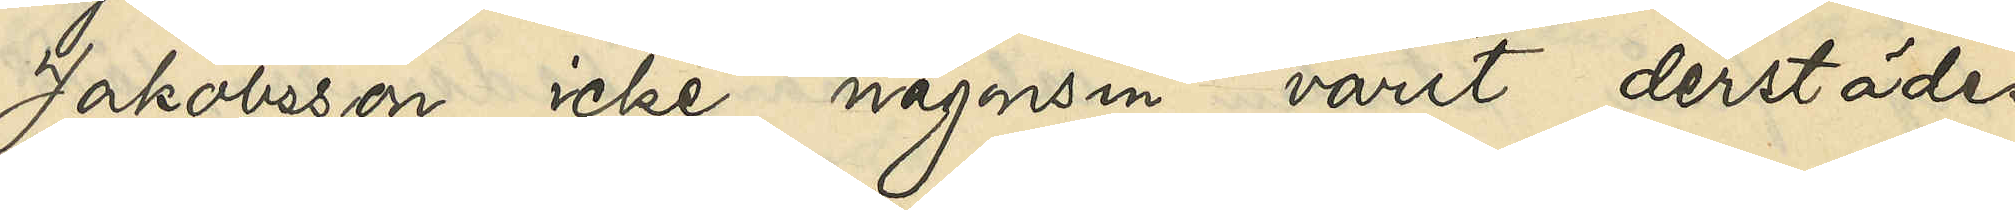Jakobsson icke någonsin varit derstädes
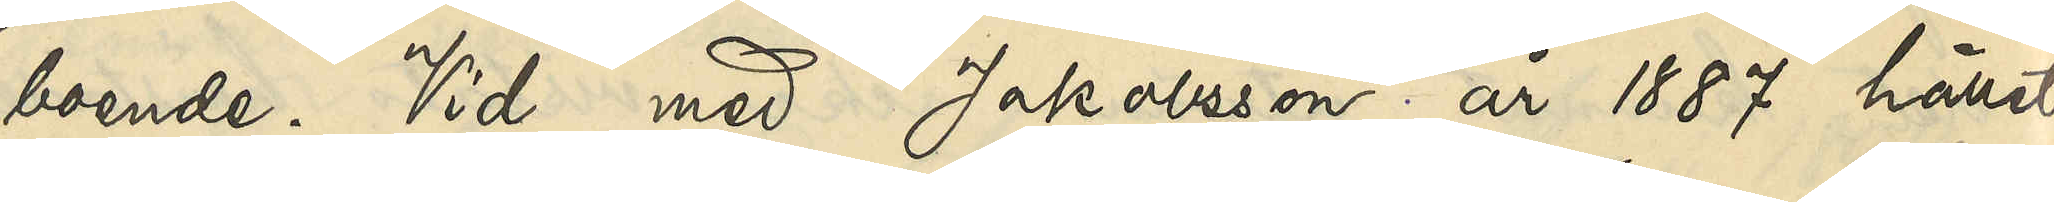boende. Vid med Jakobsson år 1887 hållet
